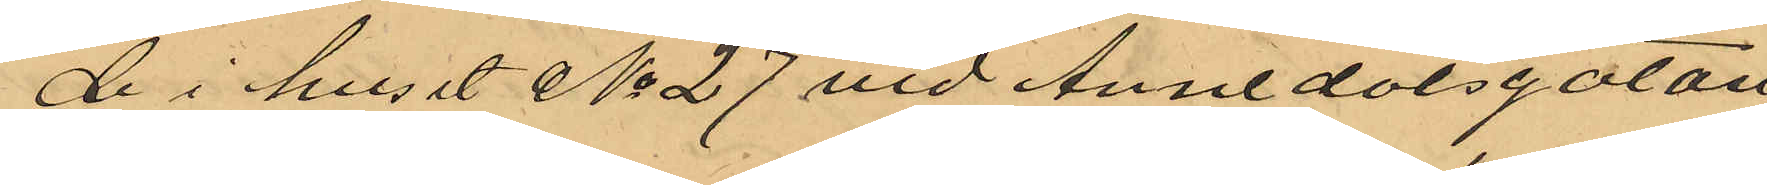de i huset No 27 vid Annedalsgatan
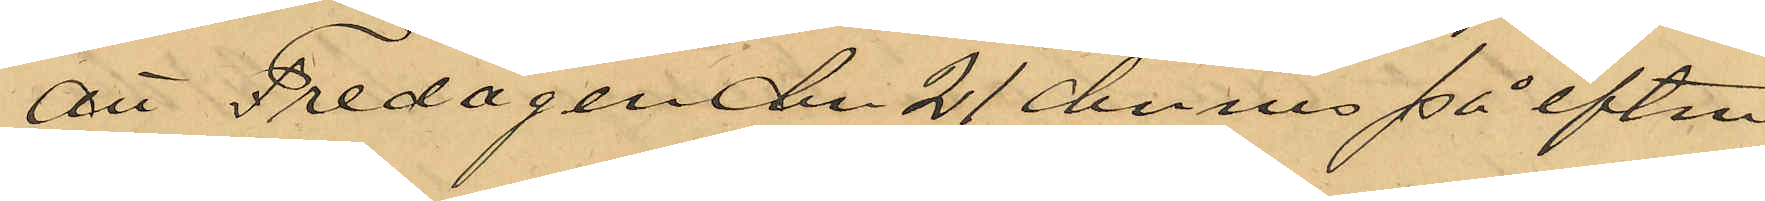att Fredagen den 21 dennes på eftm
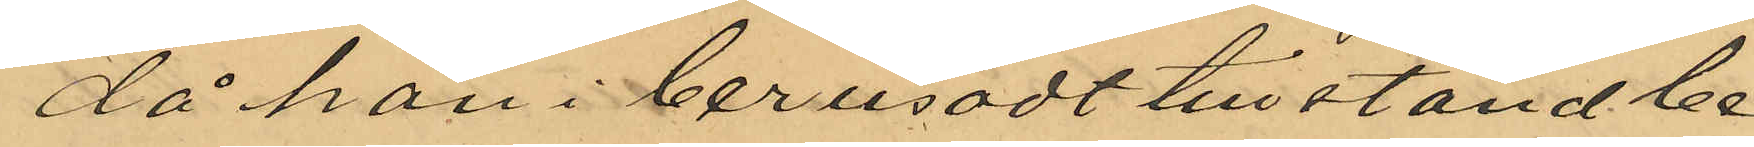då han i berusadt tillstånd le¬
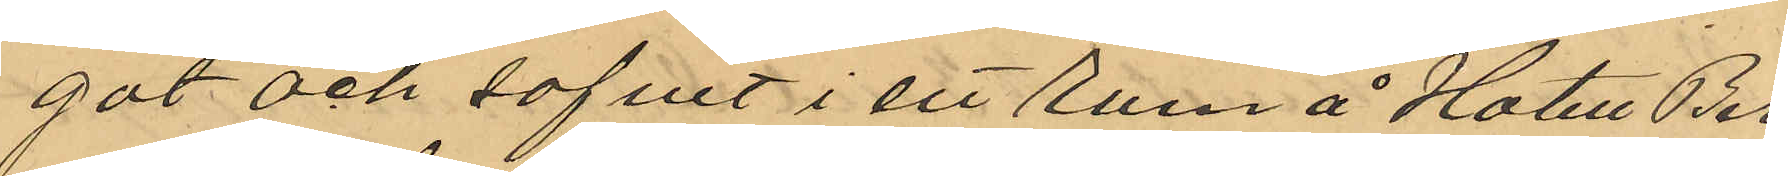gat och sofvit i ett rum å Hotell Ber¬
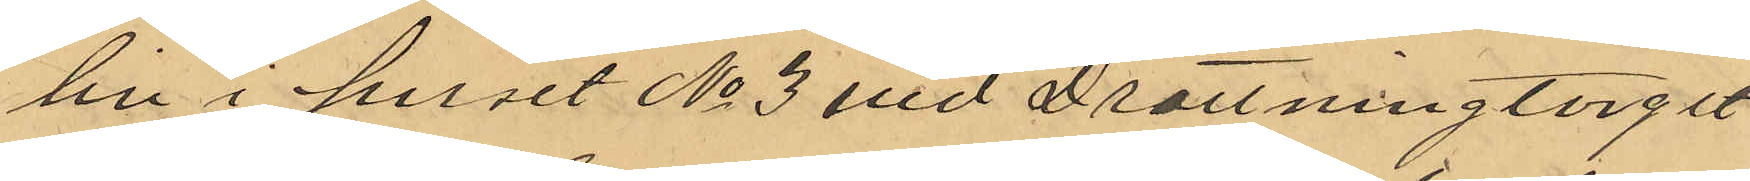lin i huset No 3 vid Drottningtorget
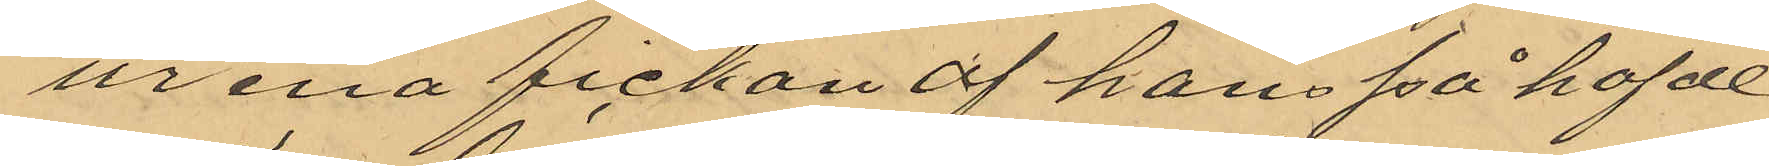ur ena fickan af hans på hafde
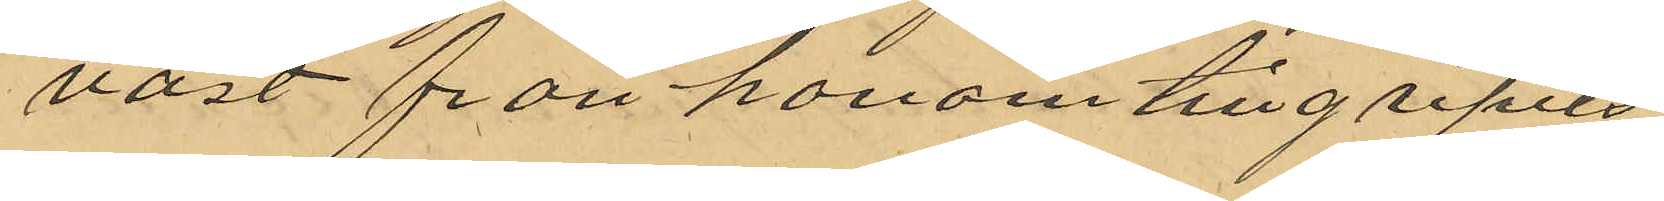väst från honom tillgripits
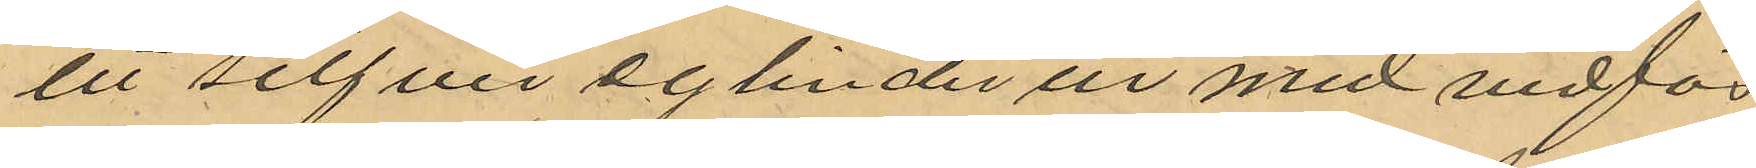ett silfver cylinder ur med vidfäs
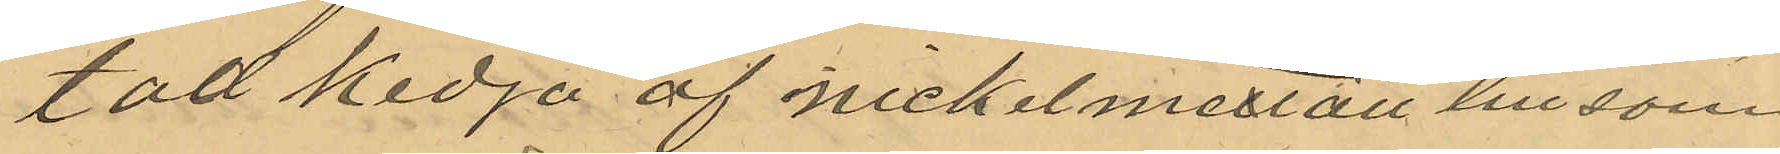tad kedja af nickelmettall till sam
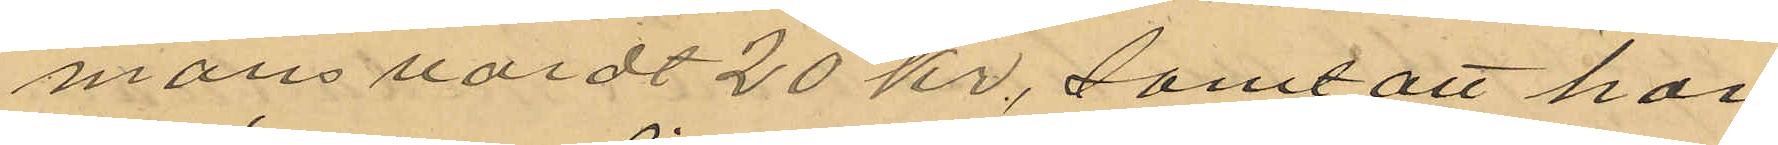mans värdt 20 kr, samt att han
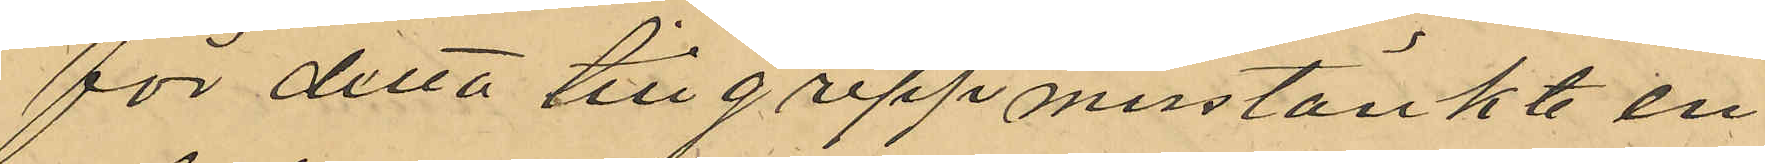för detta tillgrepp misstänkte en
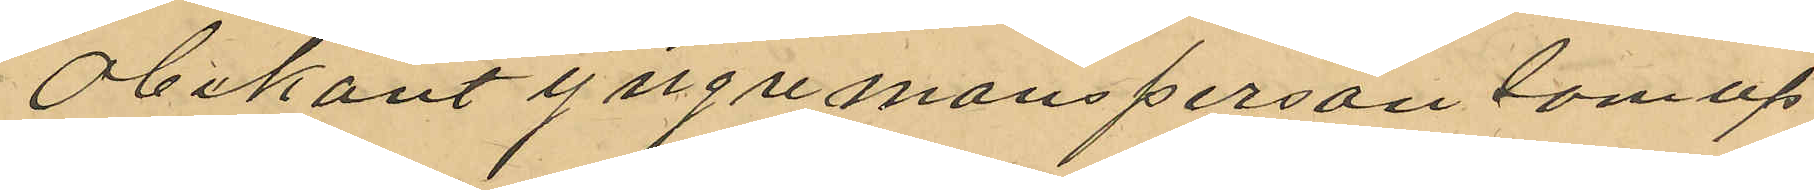obekant yngre mansperson som up
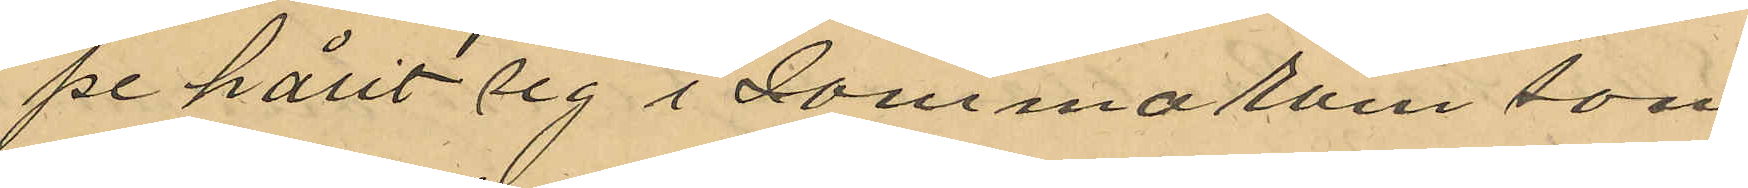pe hålit sig i samma rum som
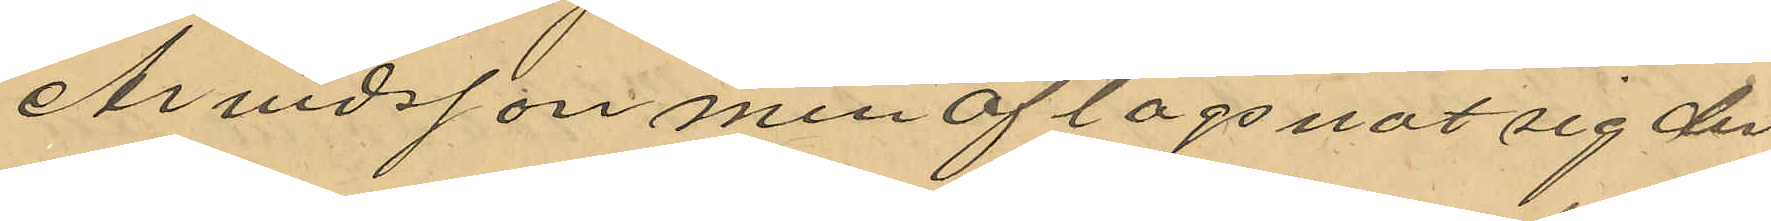Arvidsson men aflägsnat sig der
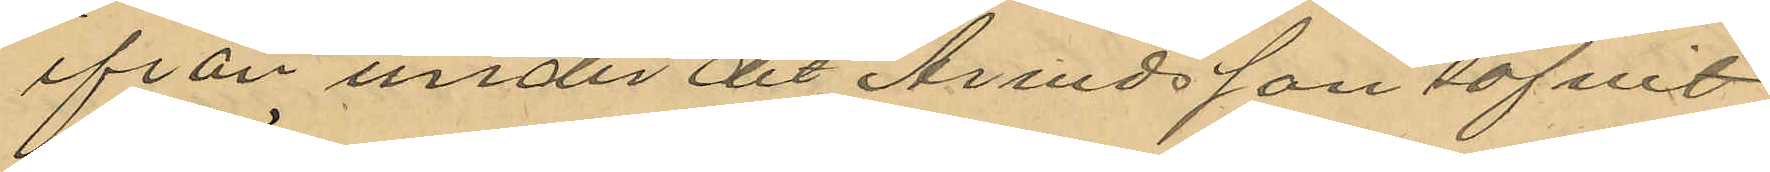från under det Arvidsson sofvit
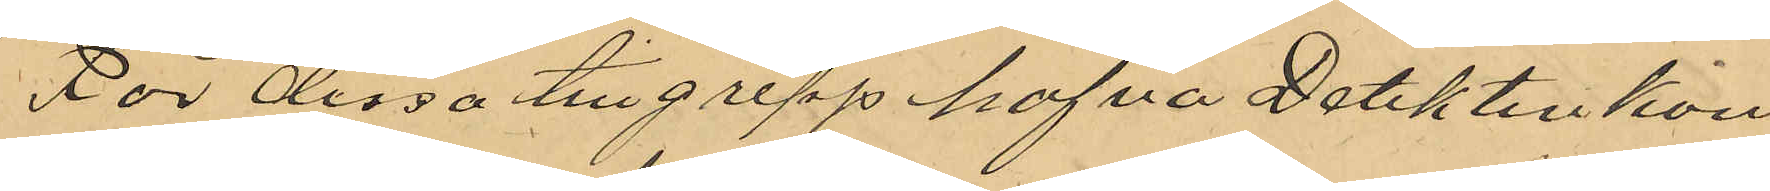För dessa tillgrepp hafva Detektivkon¬
